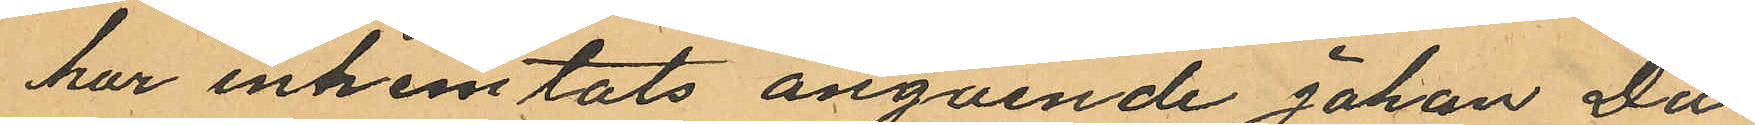har inhemtats angående Johan Da
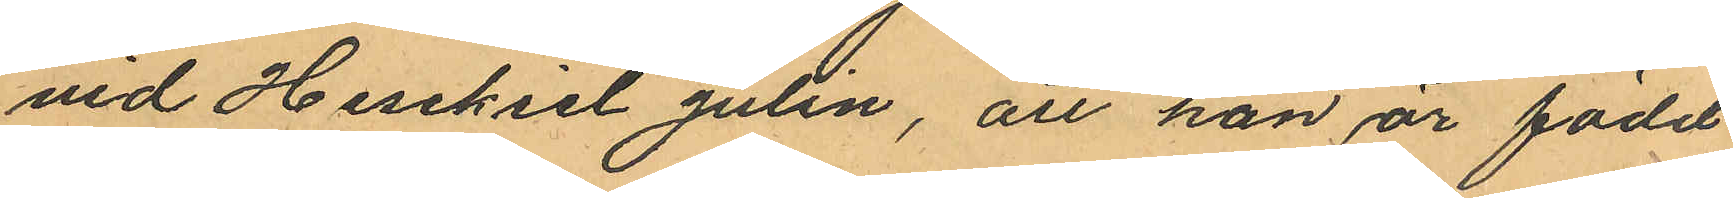vid Hesekiel Julin, att han är född
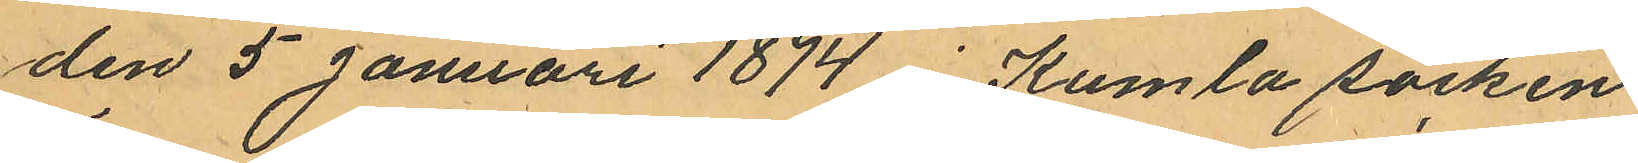den 5 Januari 1874 i Kumla socken
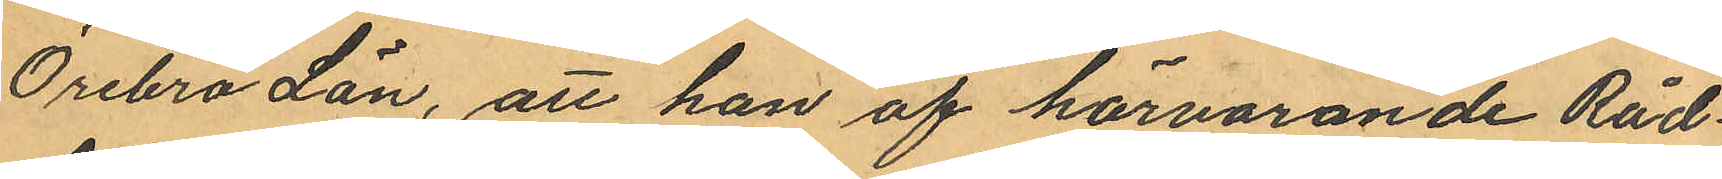Örebro Län, att han af härvarande Råd¬
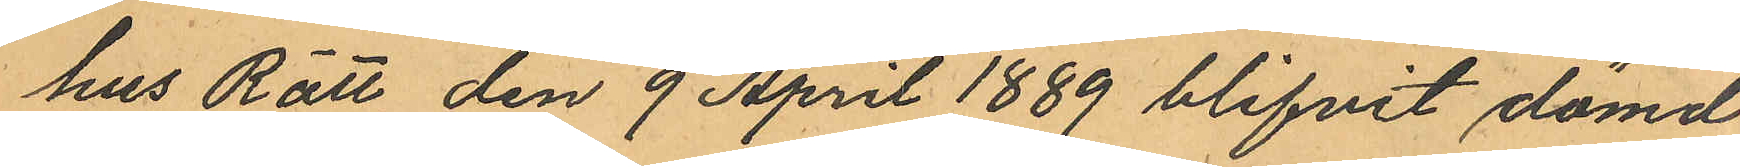hus Rätt den 9 April 1889 blifvit dömd
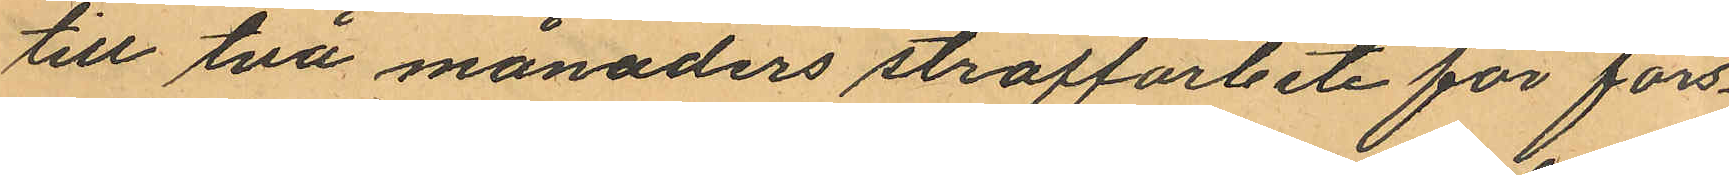till två månaders straffarbete för förs¬
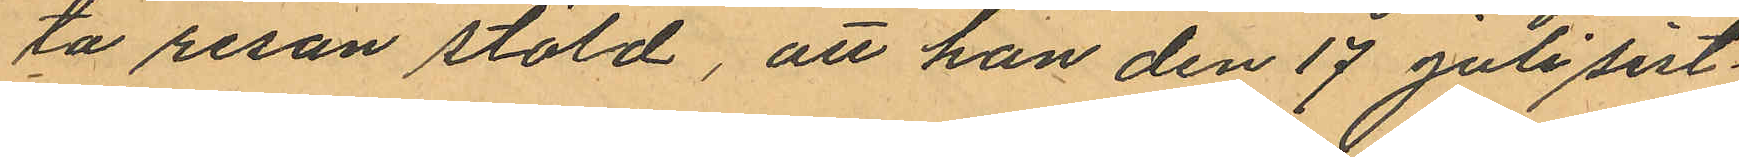ta resan stöld, att han den 17 Juli sist.
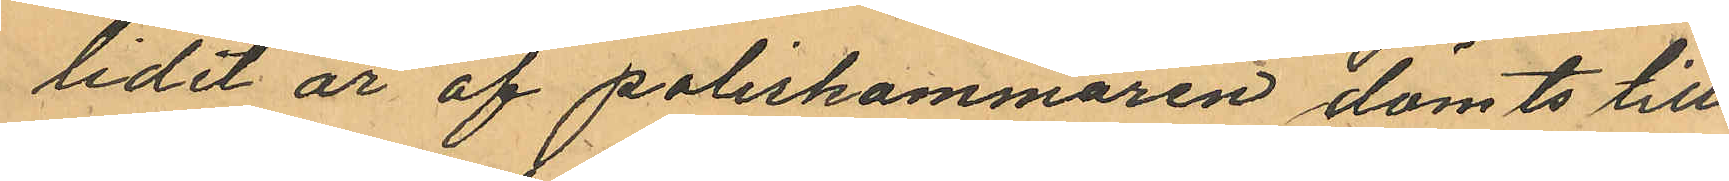lidet år af poliskammaren dömts till
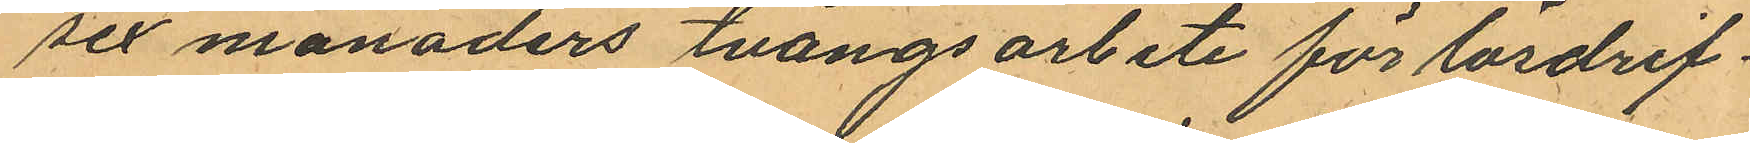sex månaders tvångsarbete för lösdrif
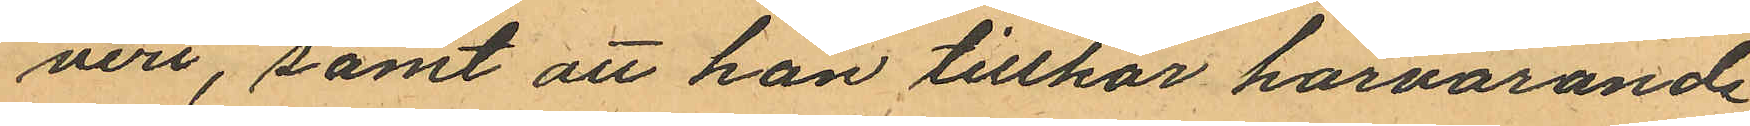veri, samt att han tillhör härvarande
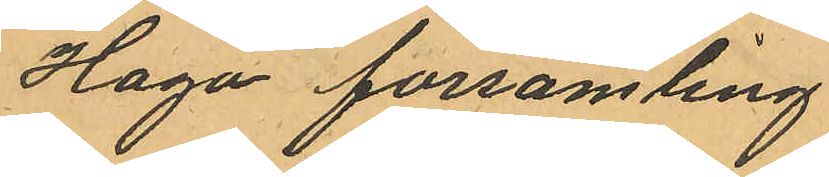Haga församling.
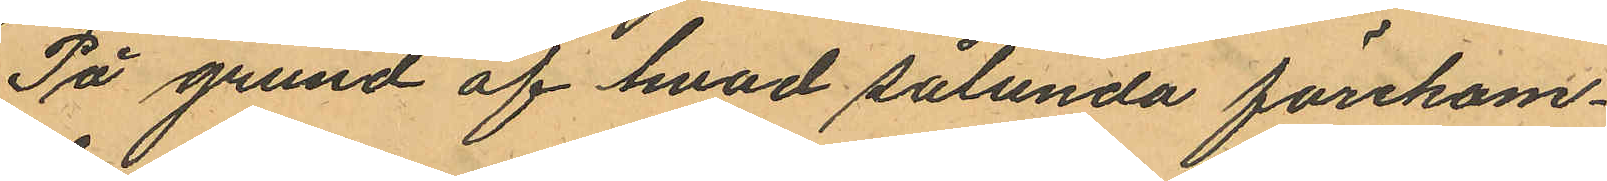På grund af hvad sålunda förekom¬
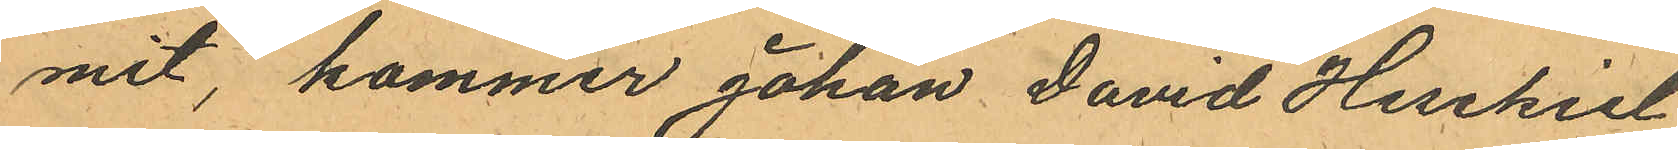mit, kommer Johan David Hesekiel
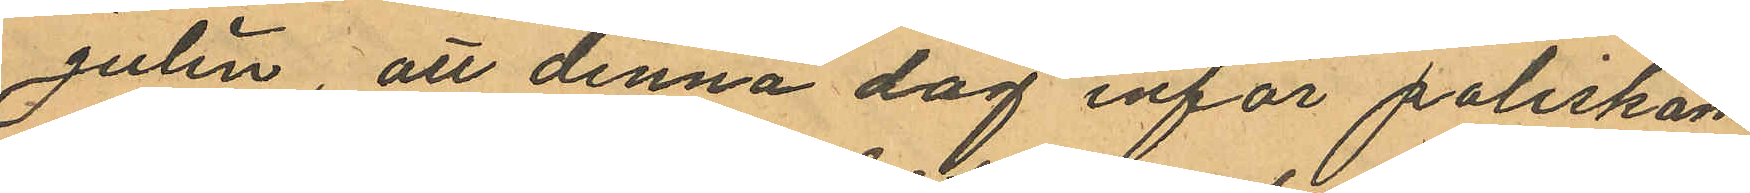Julin, att denna dag inför poliskam¬
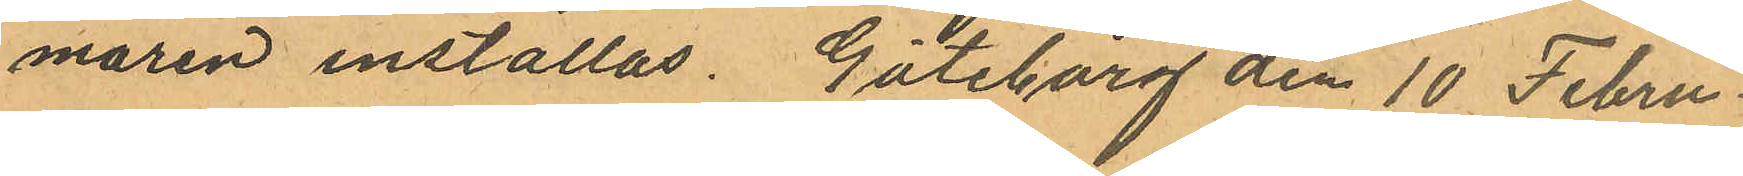maren inställas. Göteborg den 10 Febru¬
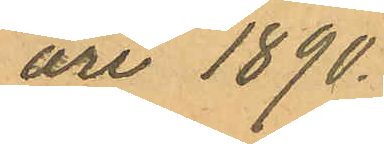ari 1890.
